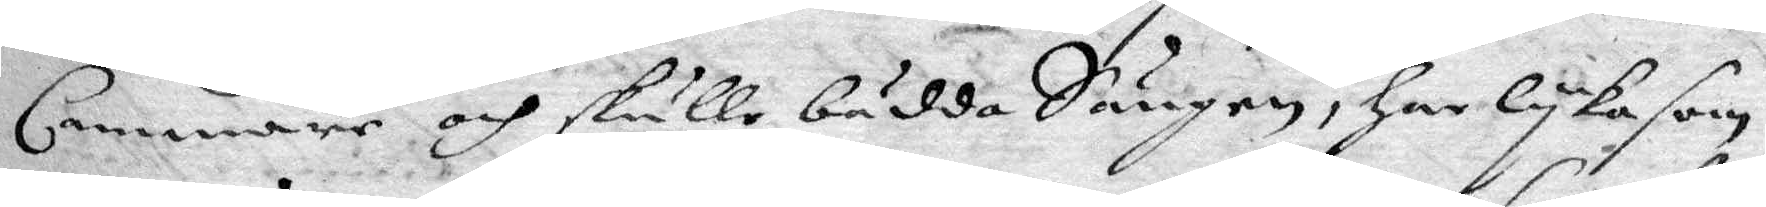Cammare och skulle bädda Sängen, har lyka som
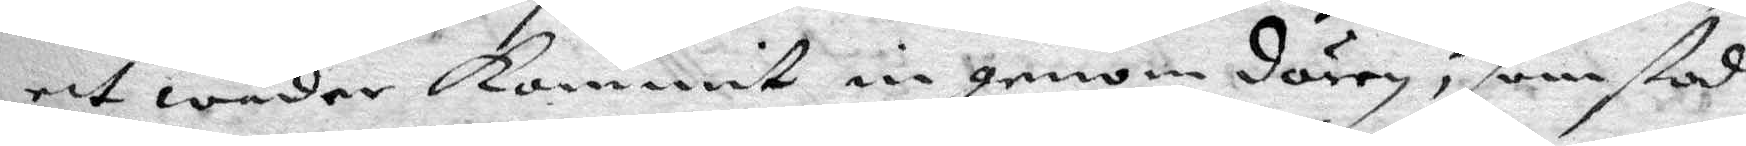ett wäder kommit in genom dörren, som stod
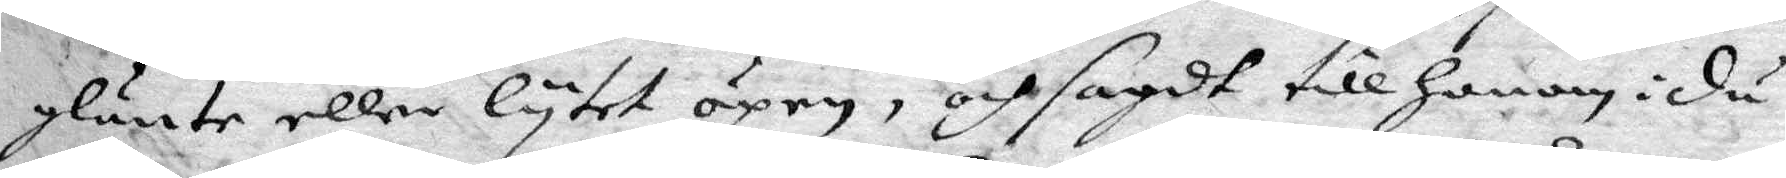glänte eller lytet öpen, och sagdt till Honom: du
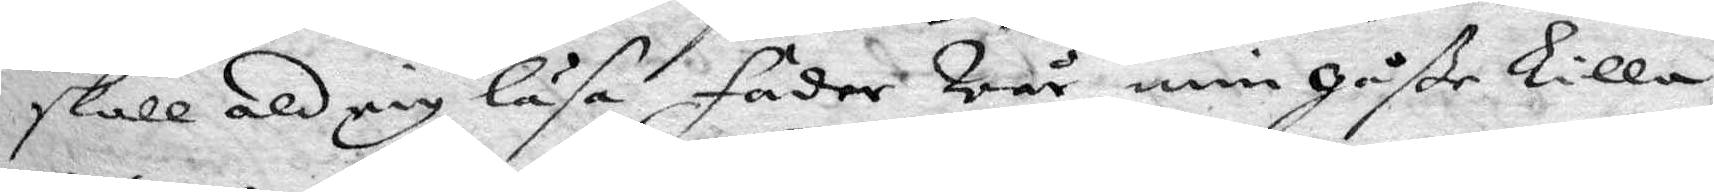skall aldrig läsa Fader Wår min gåße Lilla,
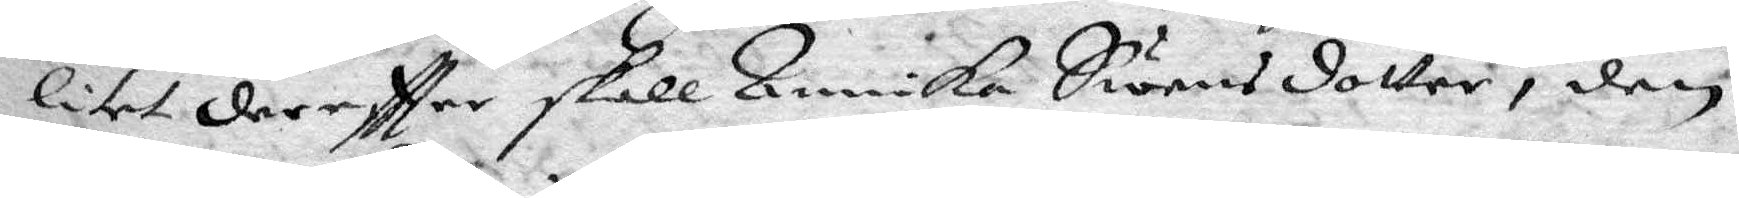litet dereftter skall Annika Swensdotter, den
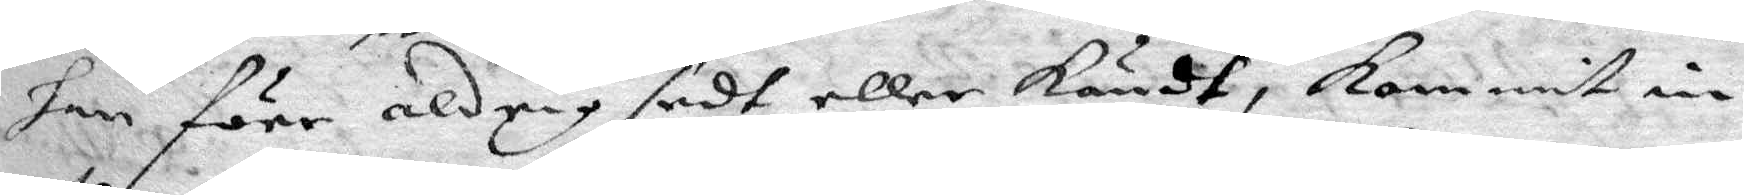han före aldrig sedt eller kändt, Kommit in
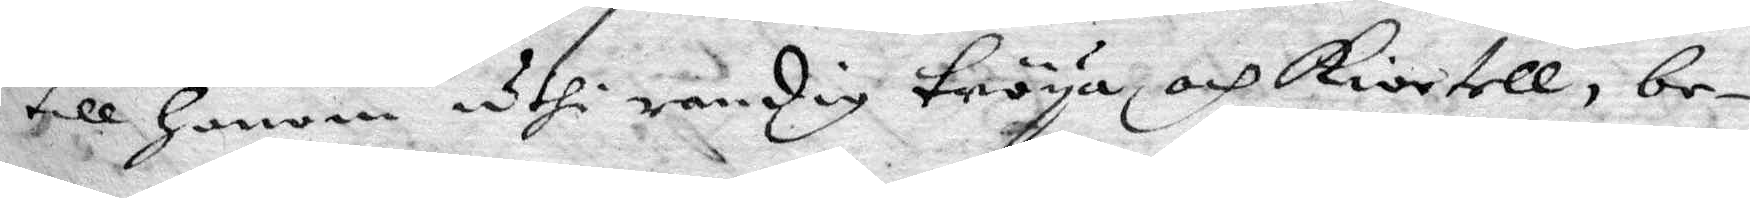till Honom uthi randig tröya, och Kiortell, be¬
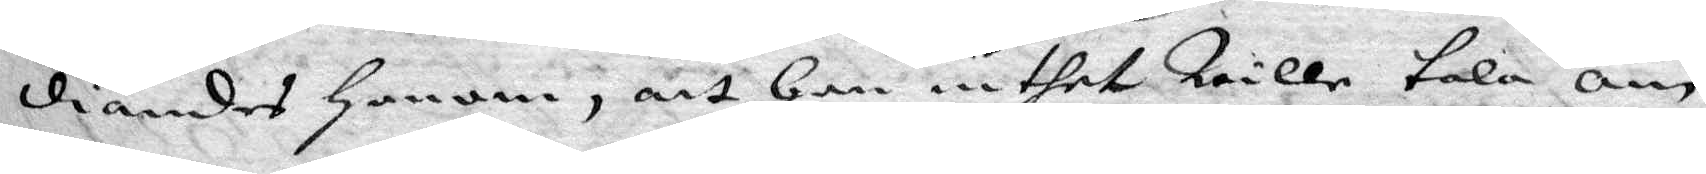diandes Honom, att Han inthet wille tala om
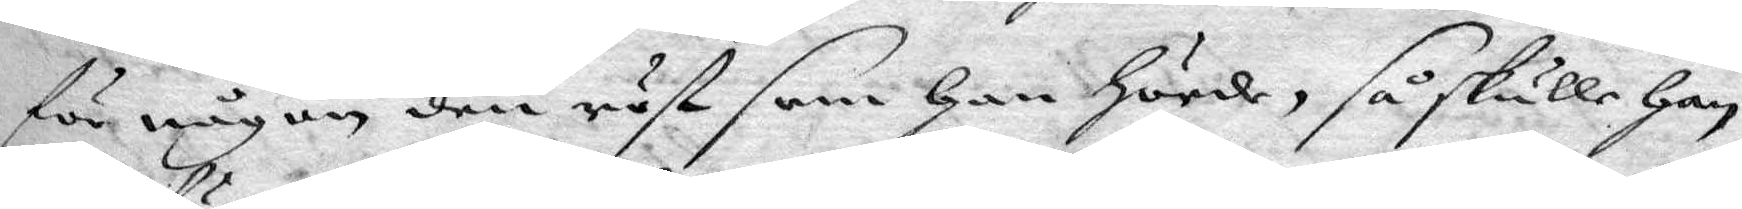för någon den röst som Han Hörde, så skulle Han
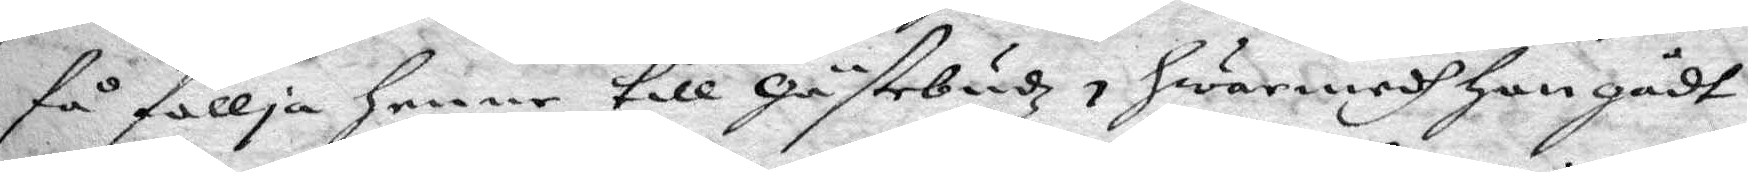få föllja henne till Gästebudz, Hwarmedh Hon gådt
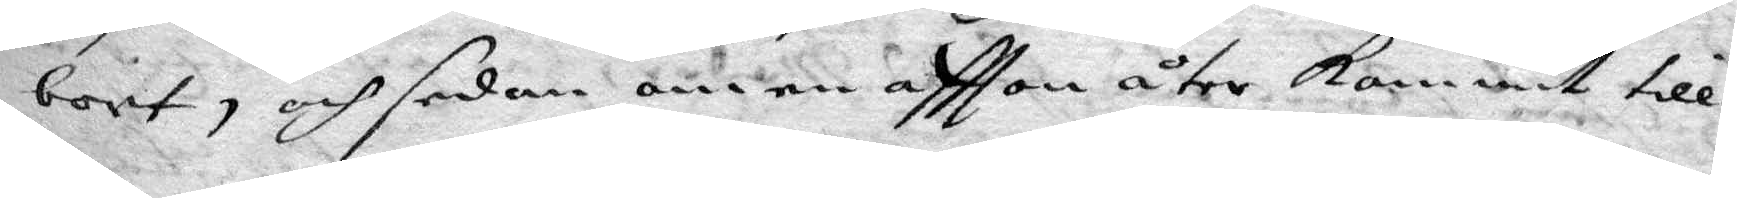bort, och sedan om en aftton åter kommit till
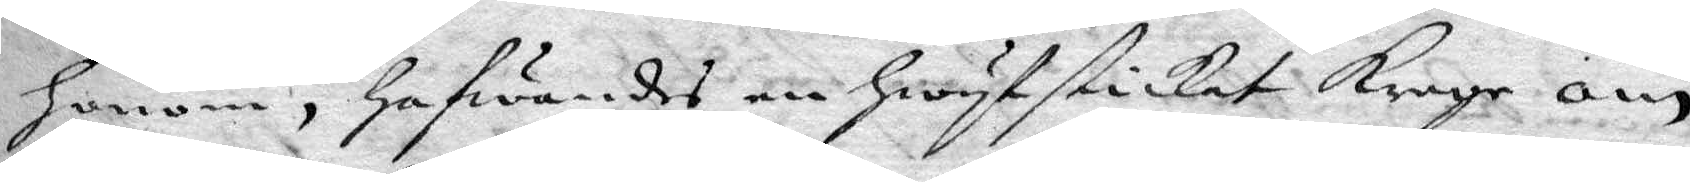Honom, Hafwandes en hwyt stickat krage, om
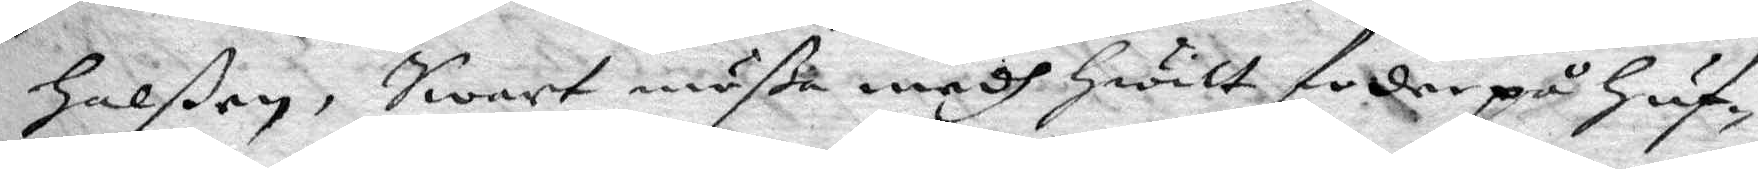Halßen, Swart mößa medh hwilt foder på Huf¬
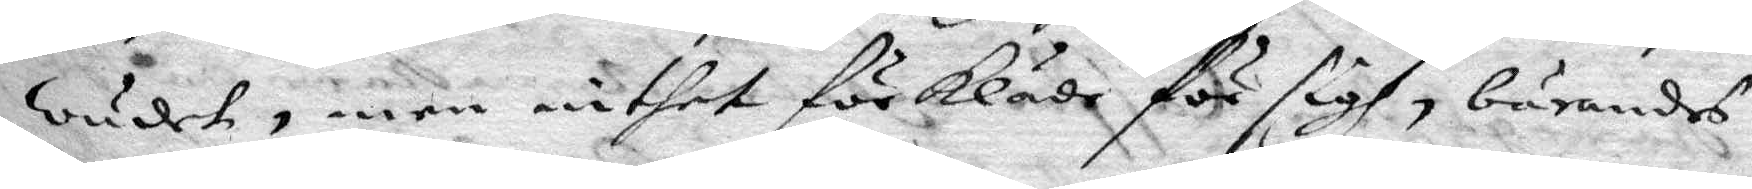wudet, men inthet förkläde för sigh, bärandes
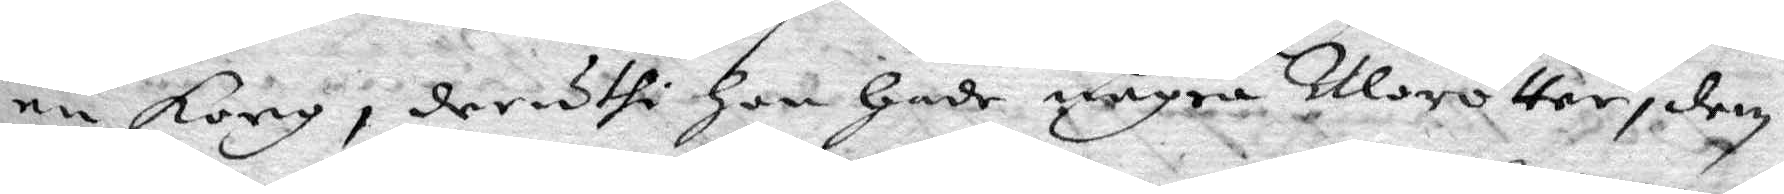en Korg, deruthi Hon hade några Morötter, dem
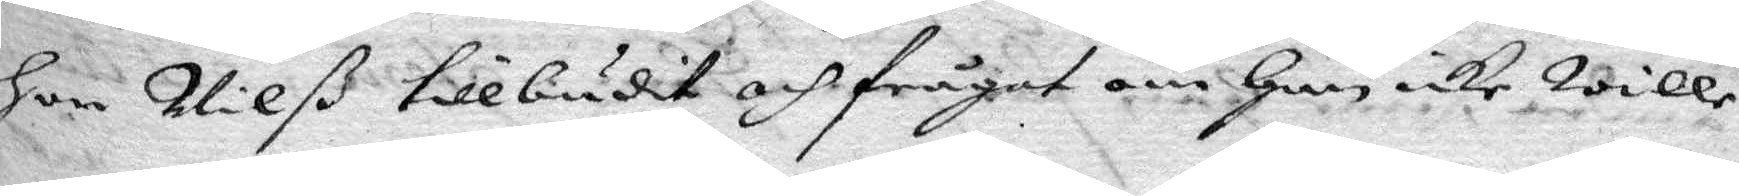hon Nilß tillbudit och frågat om Han icke wille
